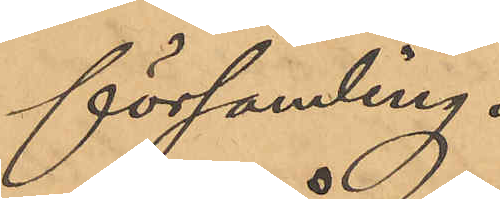församling.
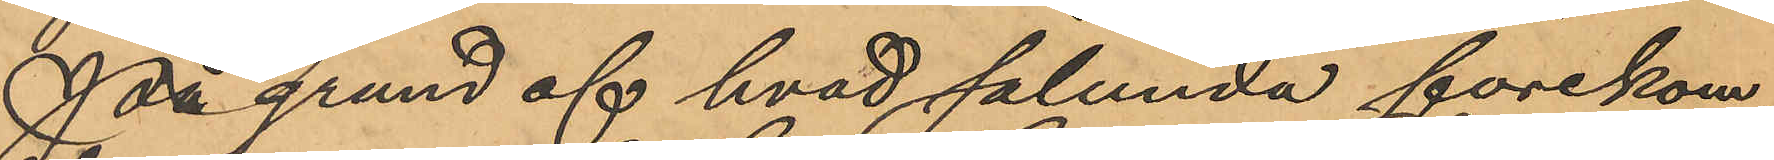På grund af hvad sålunda förekom¬
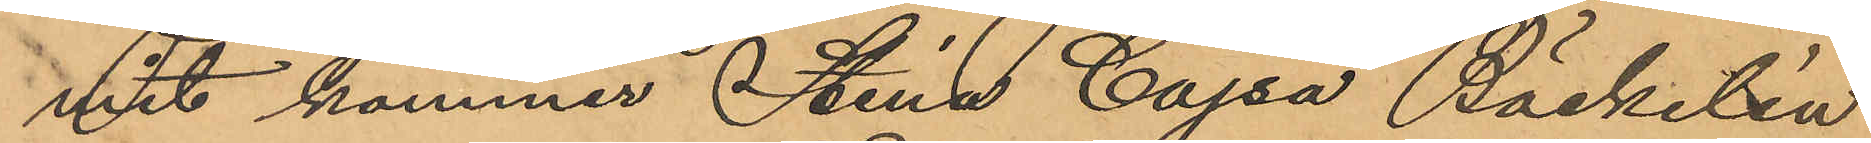vit kommer Stina Cajsa Bäckelin
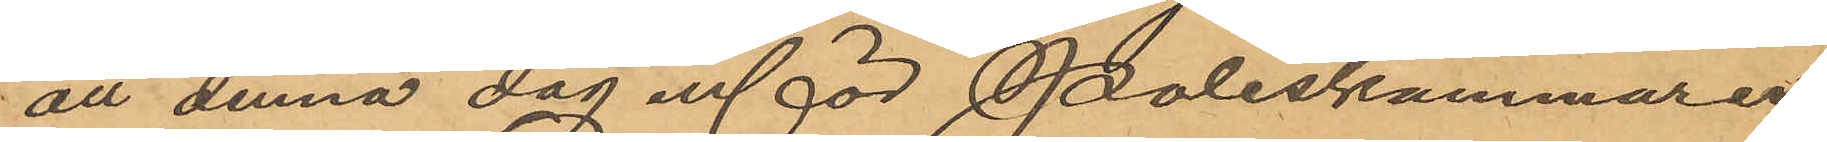att denna dag inför Poliskammaren
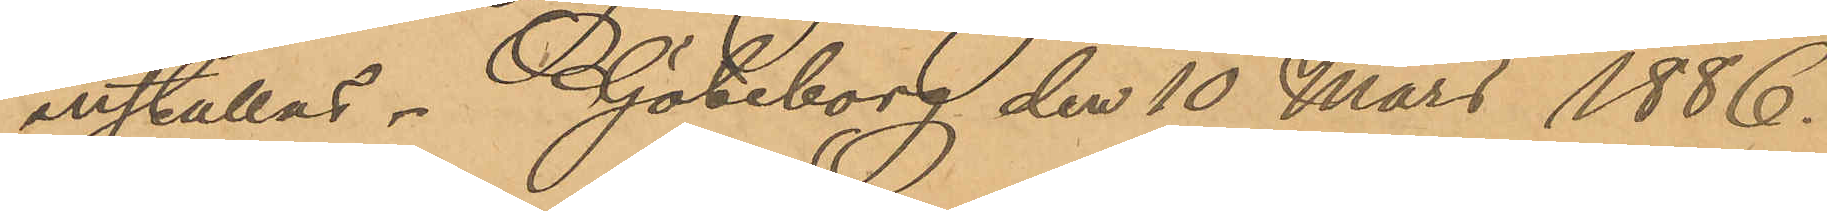inställas. Göteborg den 10 Mars 1886.
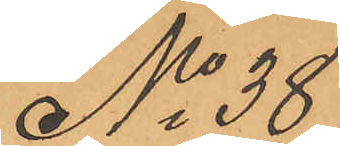No 38
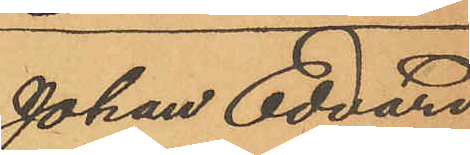Johan Edvard
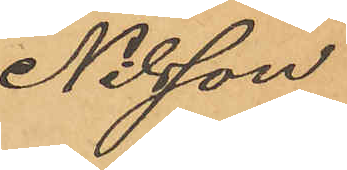Nilsson
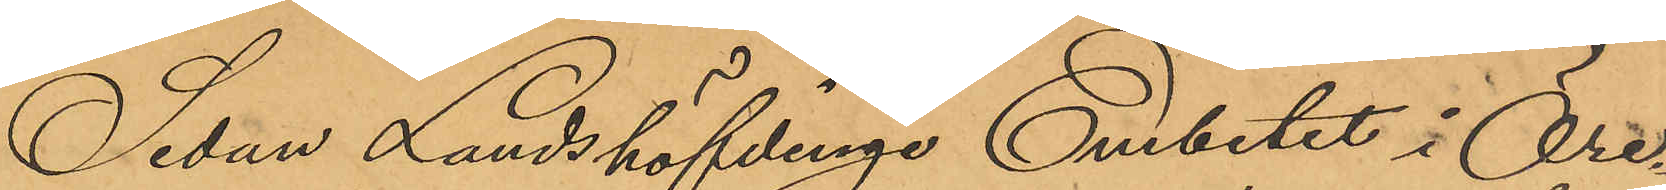Sedan Landshövdinge Embetet i Öre¬
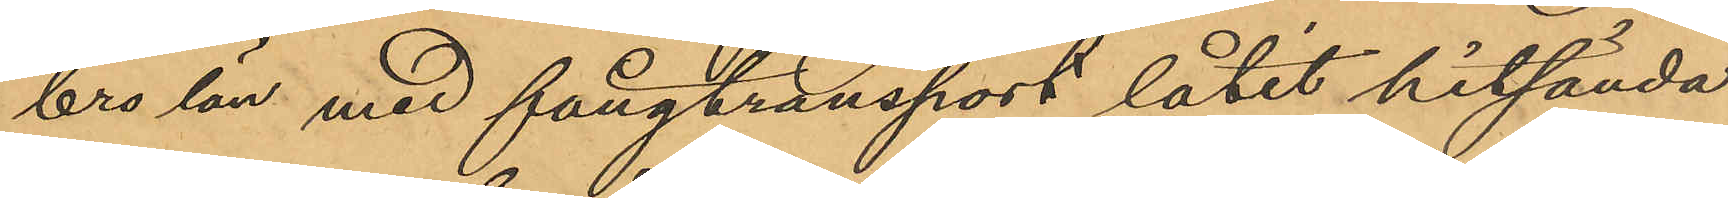bro län med fångtransport låtit hitsända
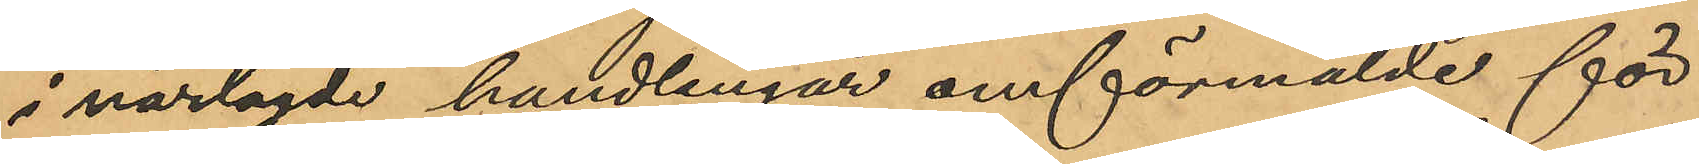i närlagde handlingar omförmälde för
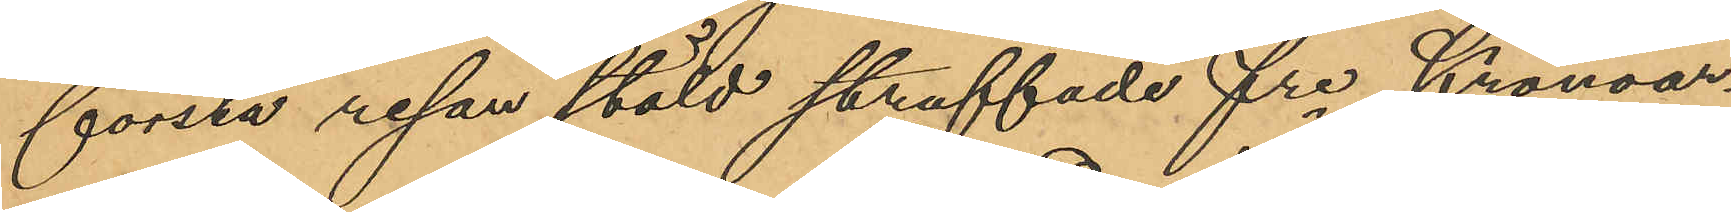första resan stöld straffade fre Kronoar¬
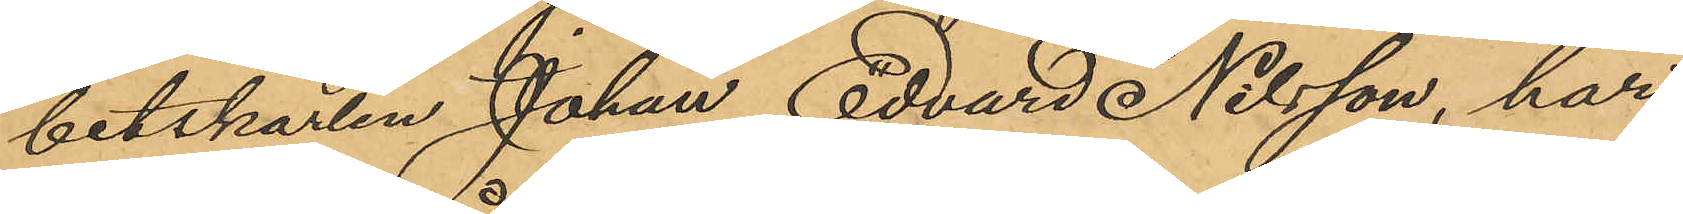betskarlen Johan Edvard Nilsson, har
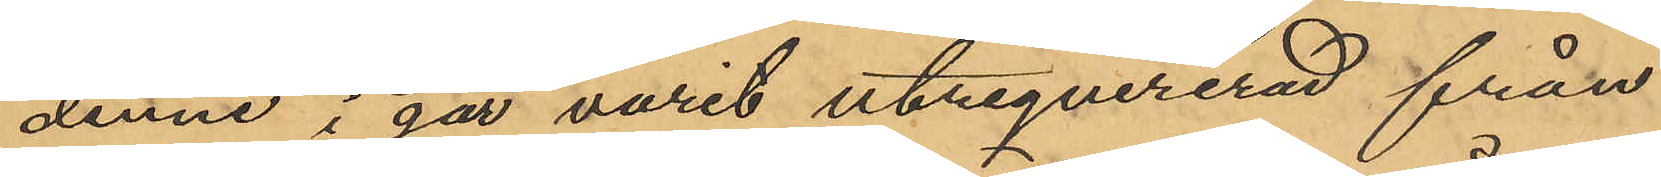denne i går varit utreqvirerad från
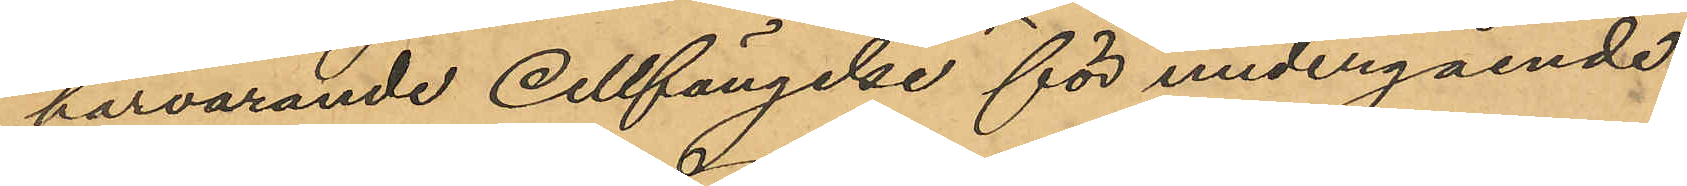härvarande Cellfängelse för undergående
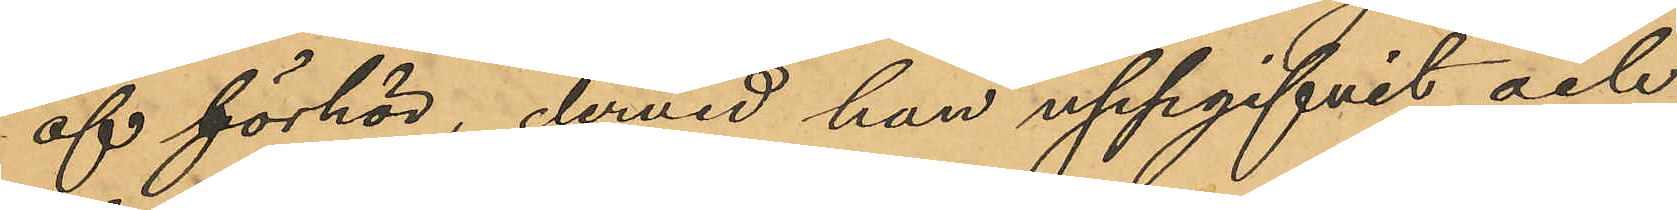af förhör, dervid han uppgifvit och
